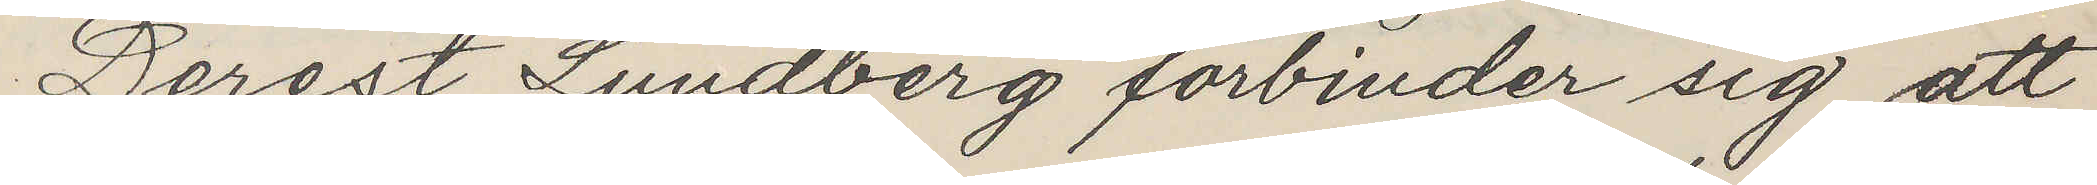Derest Lundberg förbinder sig att
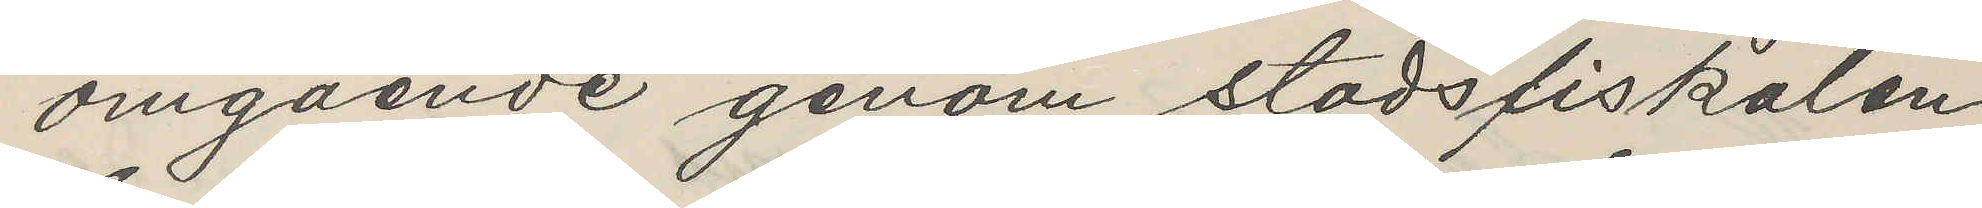omgående genom stadsfiskalen
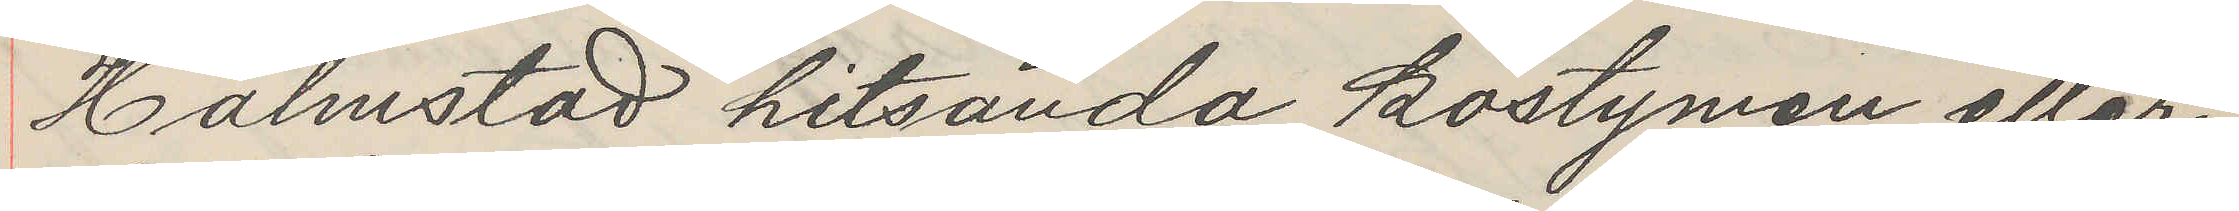Halmstad hitsända kostymen eller
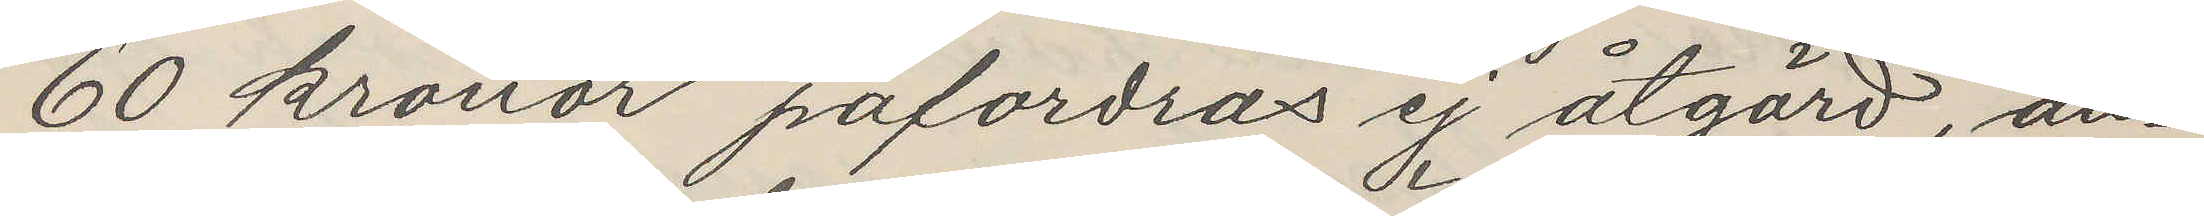60 kronor pafordras ej åtgård, an¬
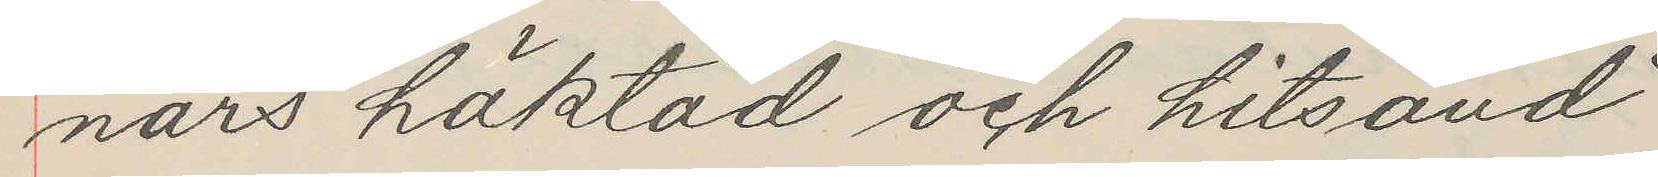nars häktad och hitsänd
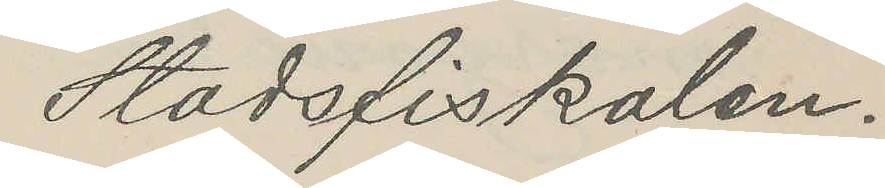Stadsfiskalen.
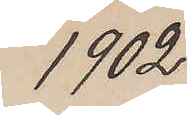1902
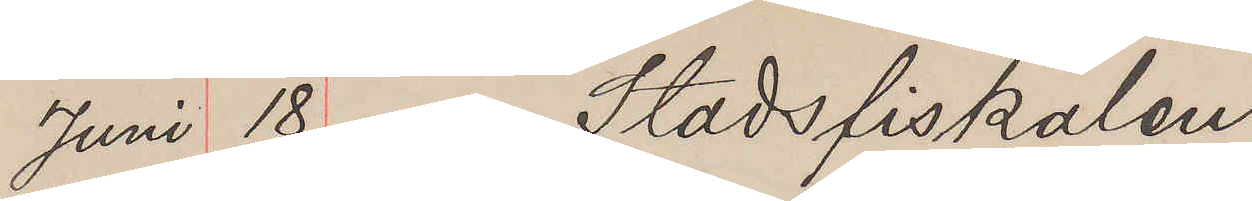Juni 18 Stadsfiskalen
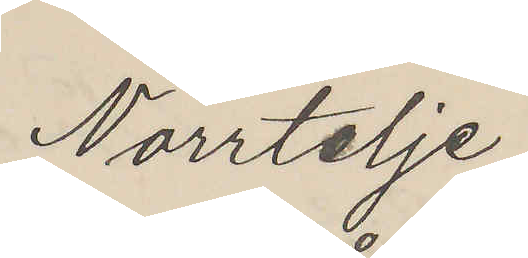Norrtelje.
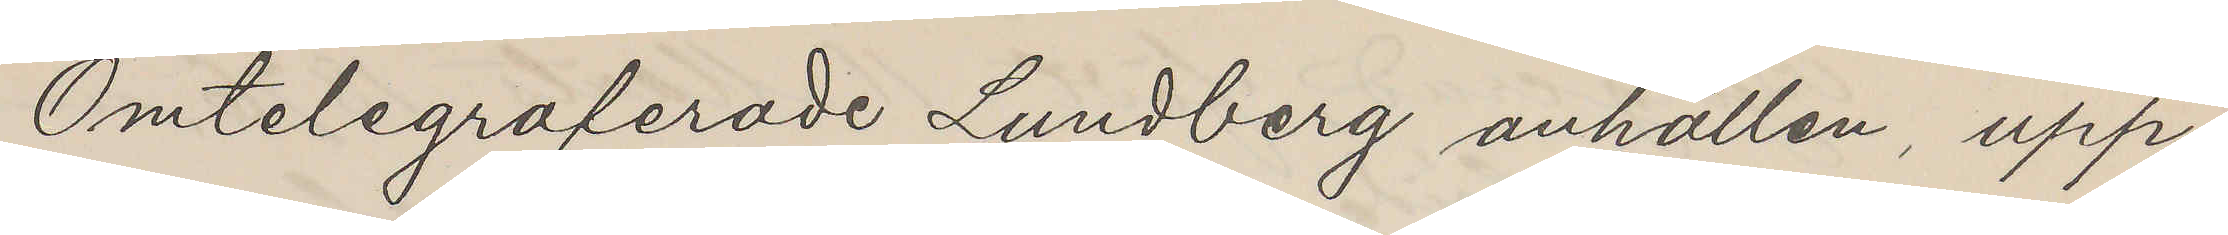Omtelegraferade Lundberg anhållen, upp¬
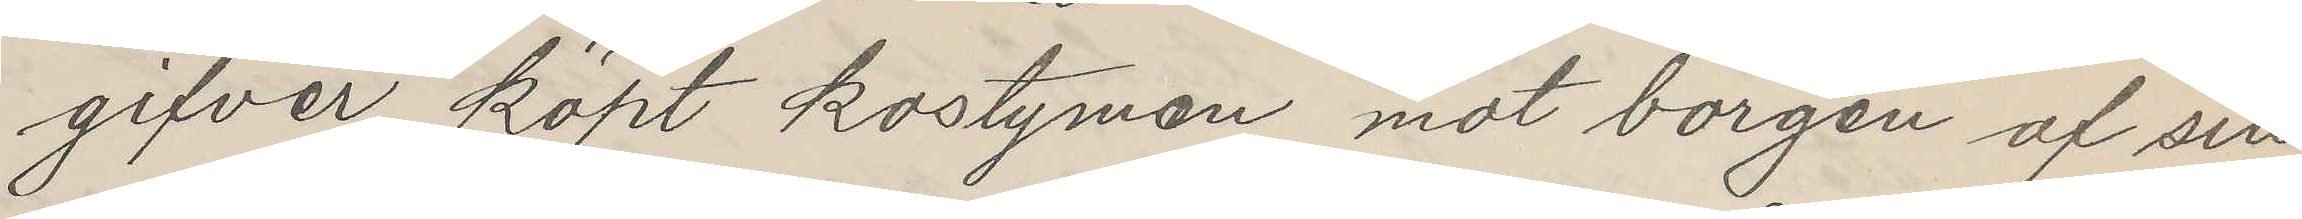gifver köpt kostymen mot borgen af sin
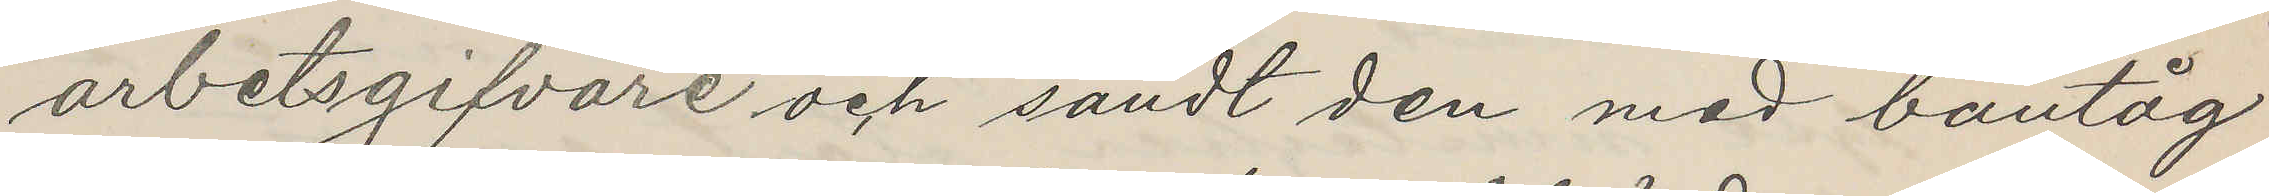arbetsgifvare och sändt den med bantåg
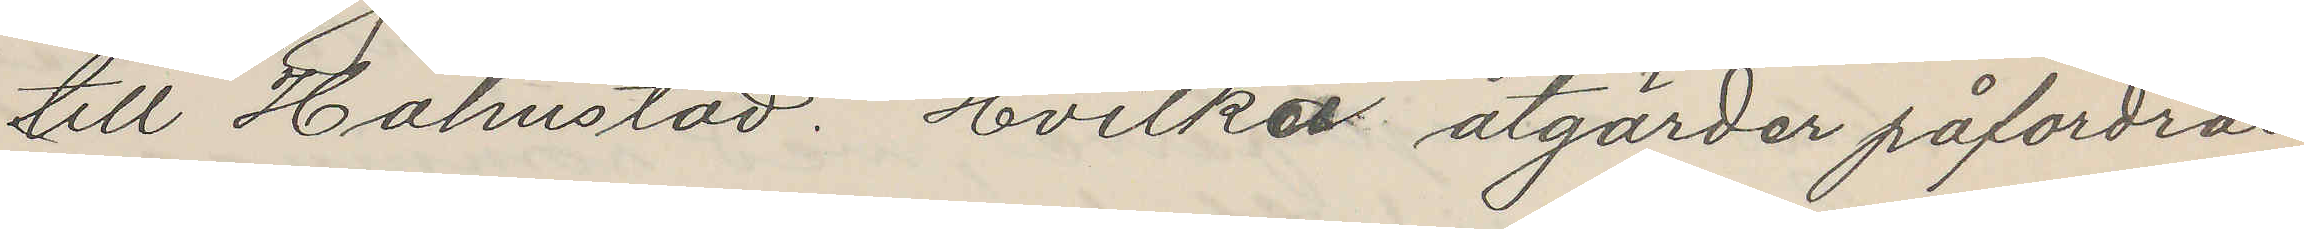till Halmstad. Hvilka åtgärder påfordras
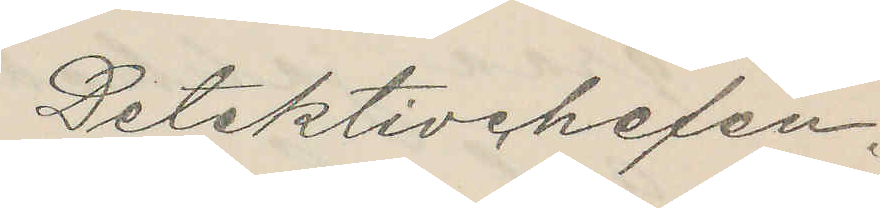Detektivchefen.
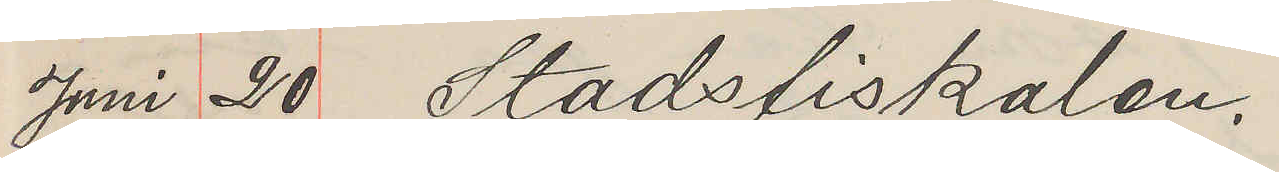Juni 20 Stadsfiskalen.
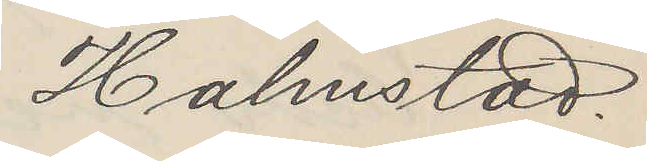Halmstad
